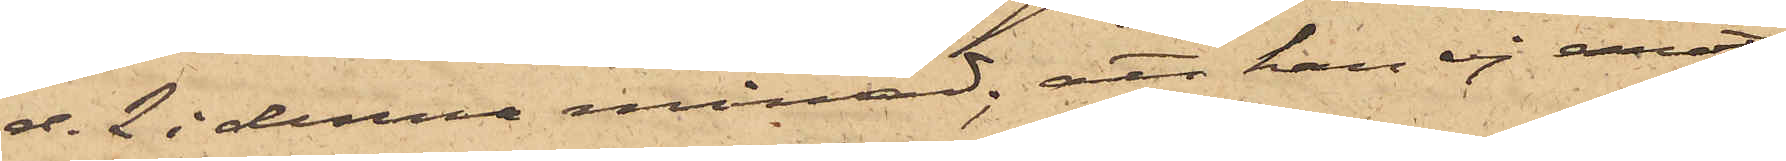d. 2 i denna månad; att han ej emot¬
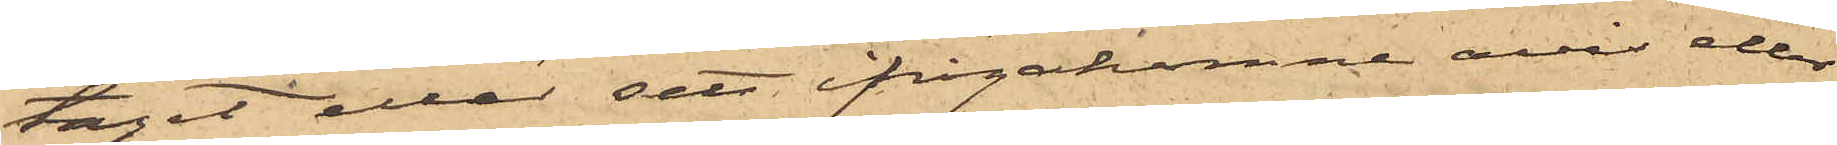tagit eller sett ifrågakomne avis eller
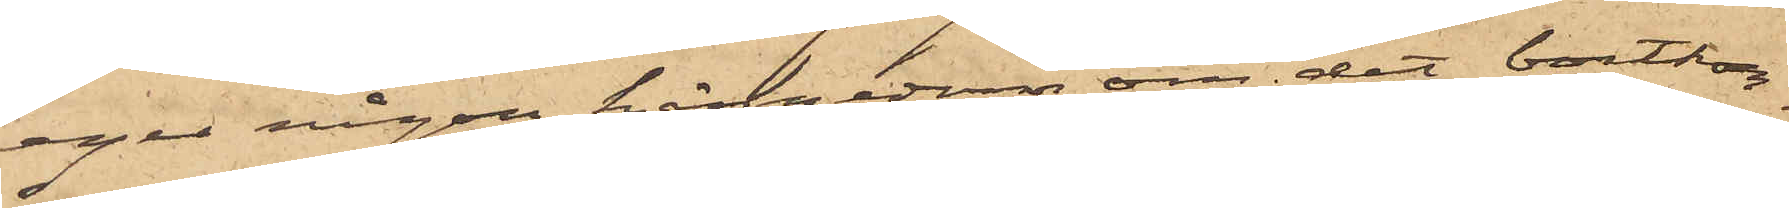eger någon kännedom om det bortkom¬
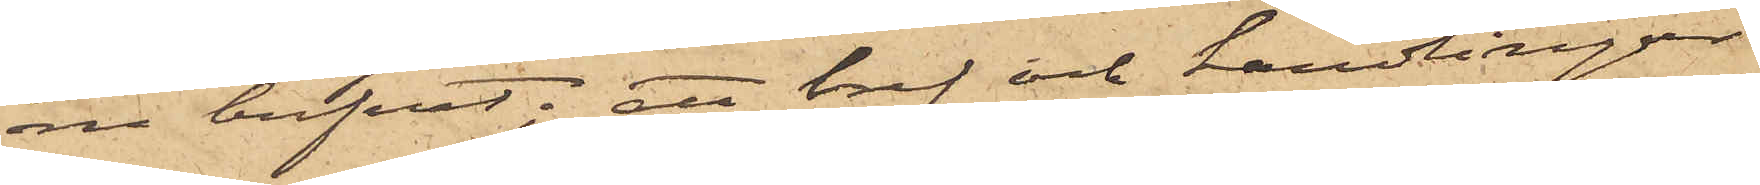ne brefvet; att bref och landlingar
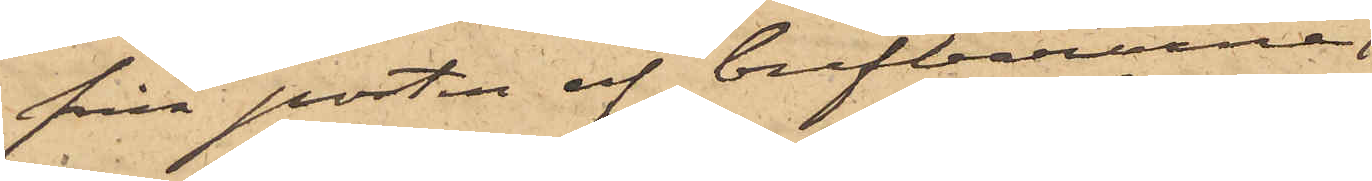från posten af brefbärarne
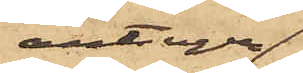antingen
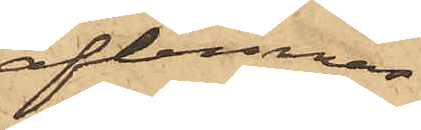aflemnas
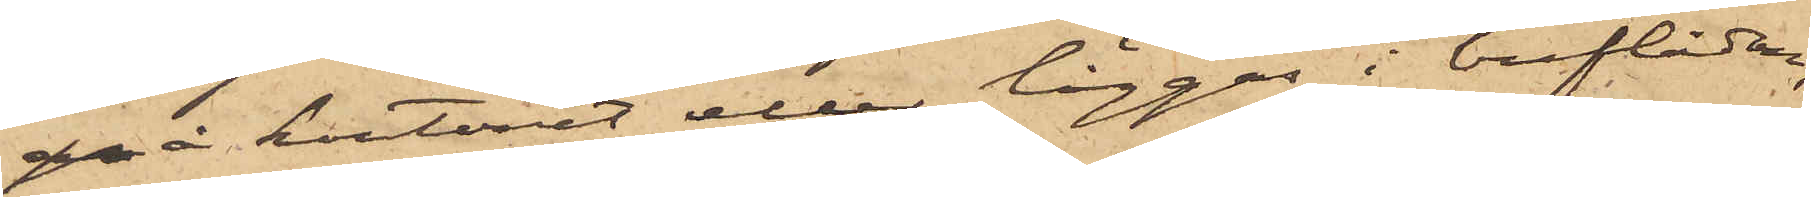å kontoret eller läggas i breflådan,
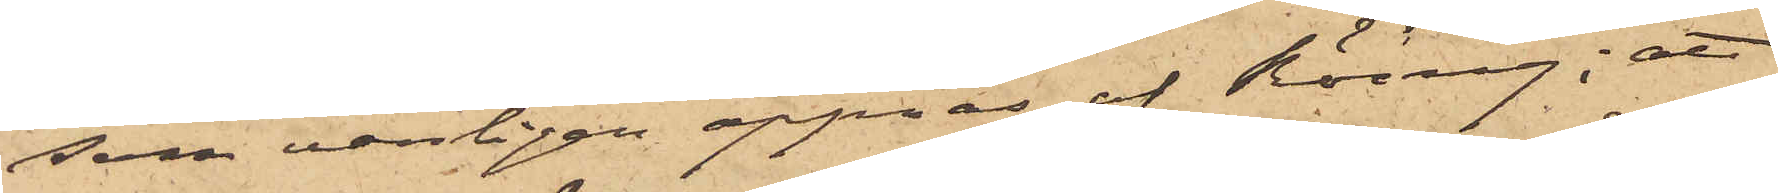som vanligen öppnas af Röing; att
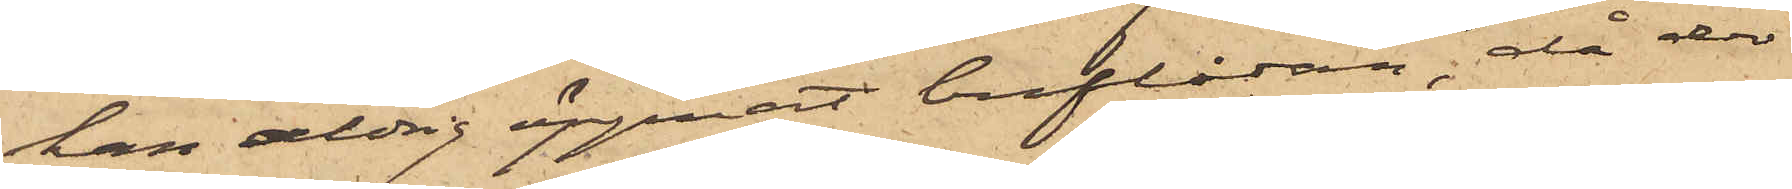han aldrig öppnat breflådan, då der
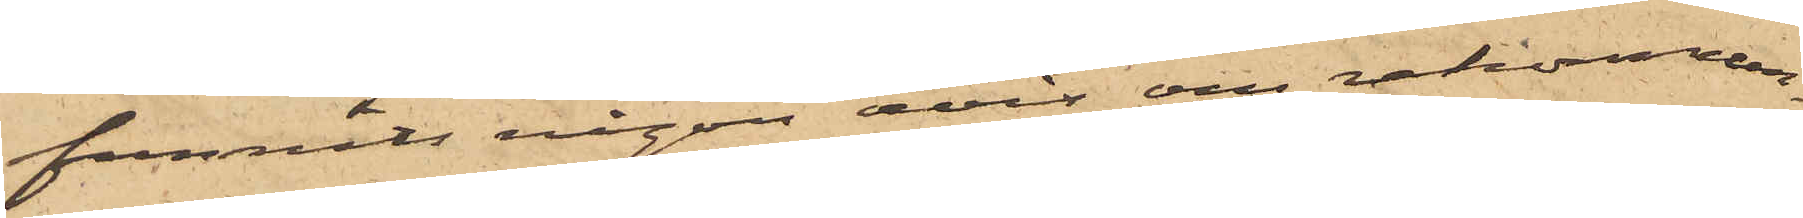funnits någon avis om rekommen¬
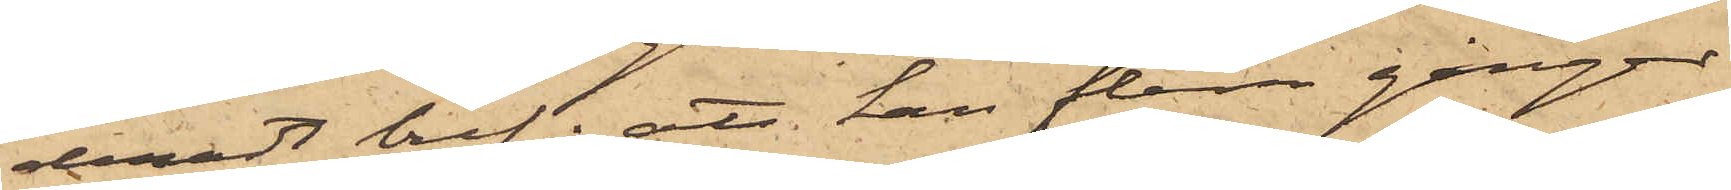deradt bref; att han flera gånger
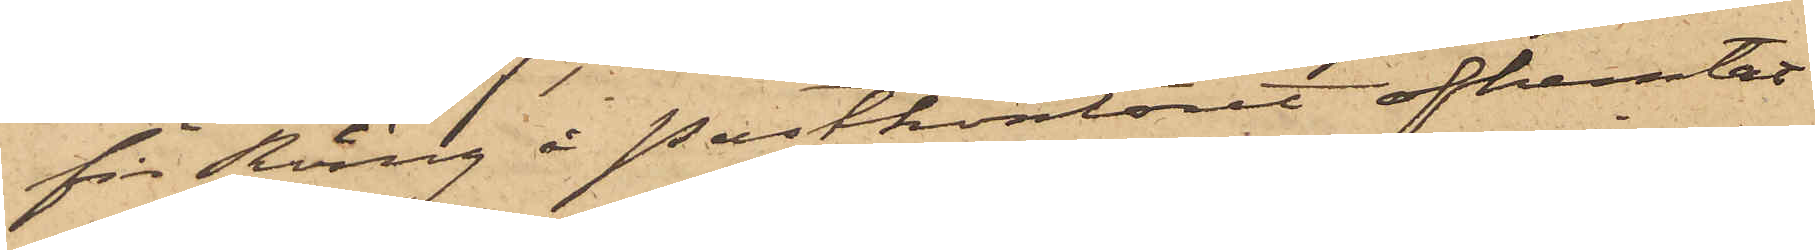för Röing å Postkontoret afhemtat
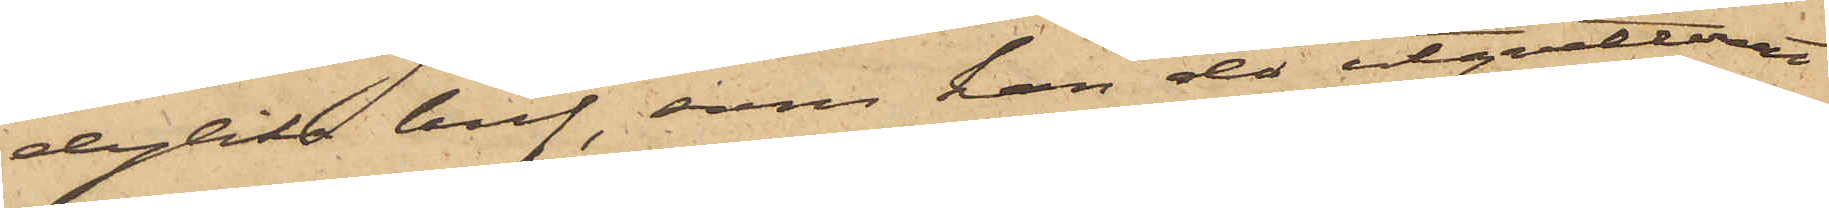dylika bref, som han då utqvitterat
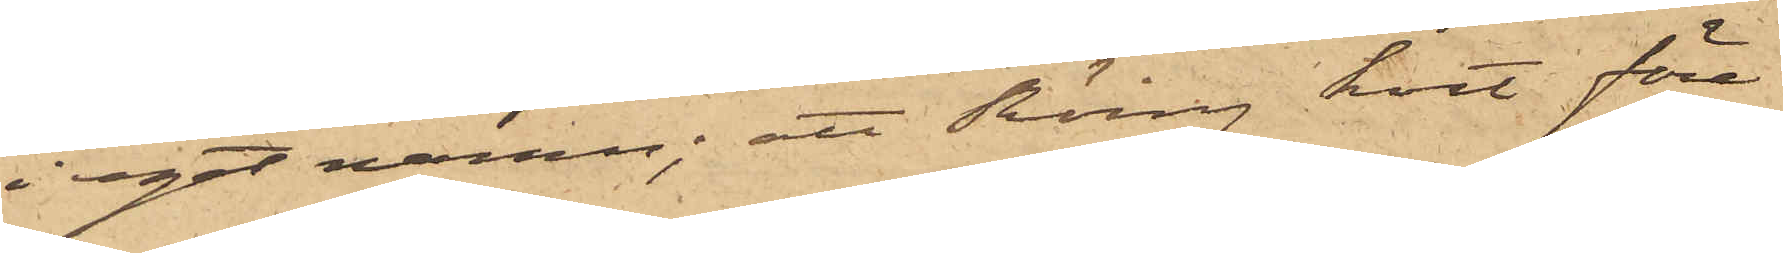i eget namn; att Röing kort före
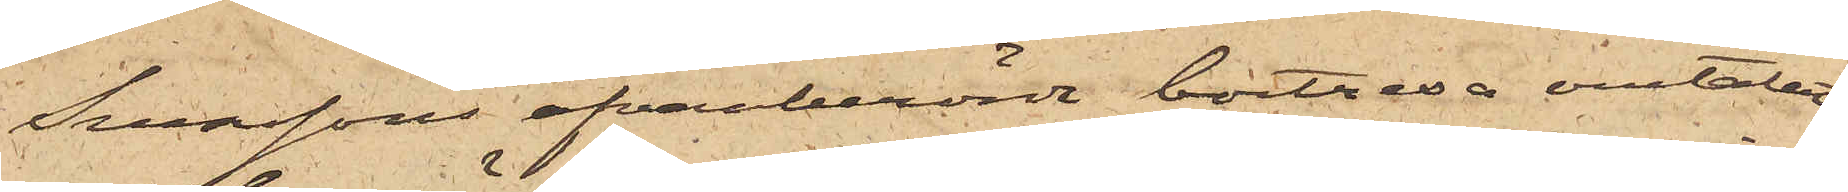Svenssons ofvanberörde bortresa omtalat
